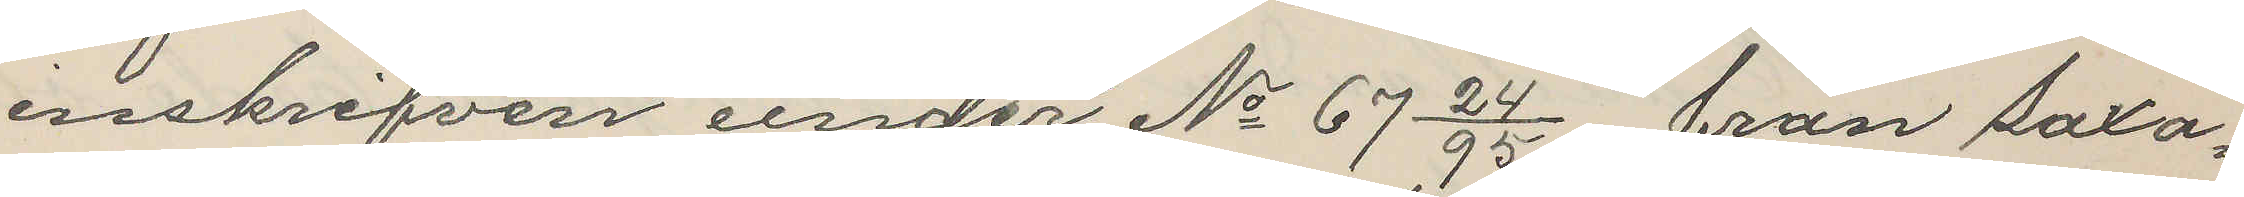inskrifven under No 67 24/95, från Saxa¬
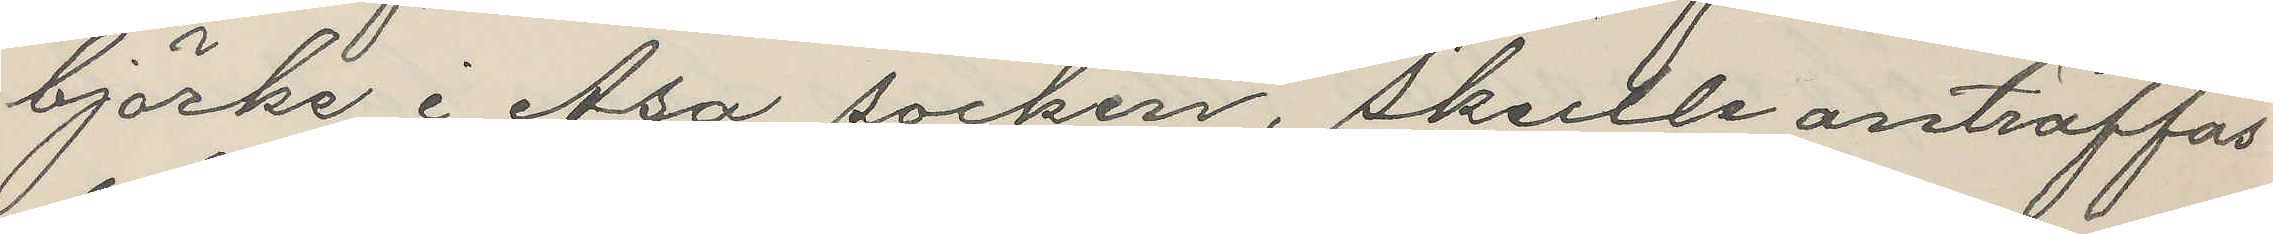björke i Asa socken, skulle anträffas
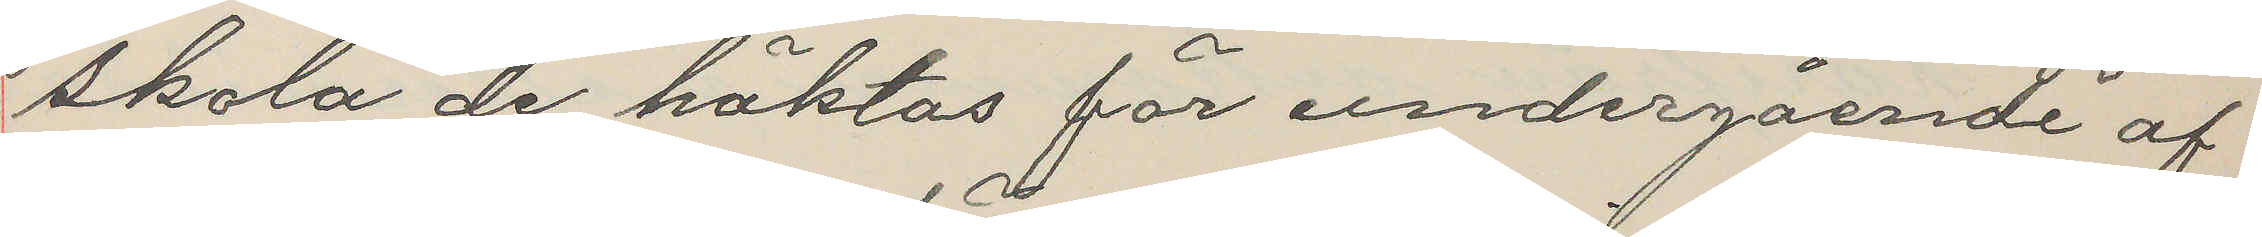skola de häktas för undergående af
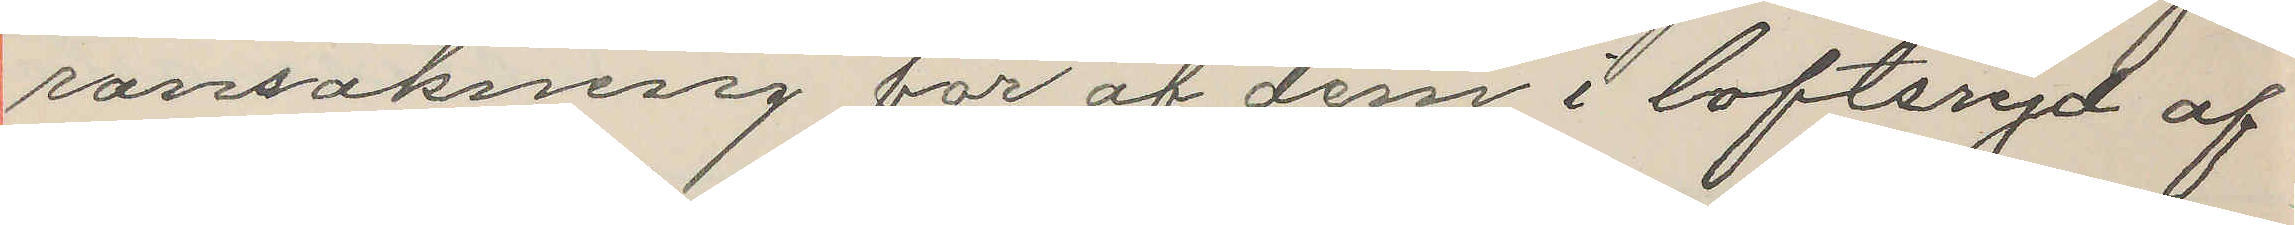ransakning för af dem i Loftsryd af
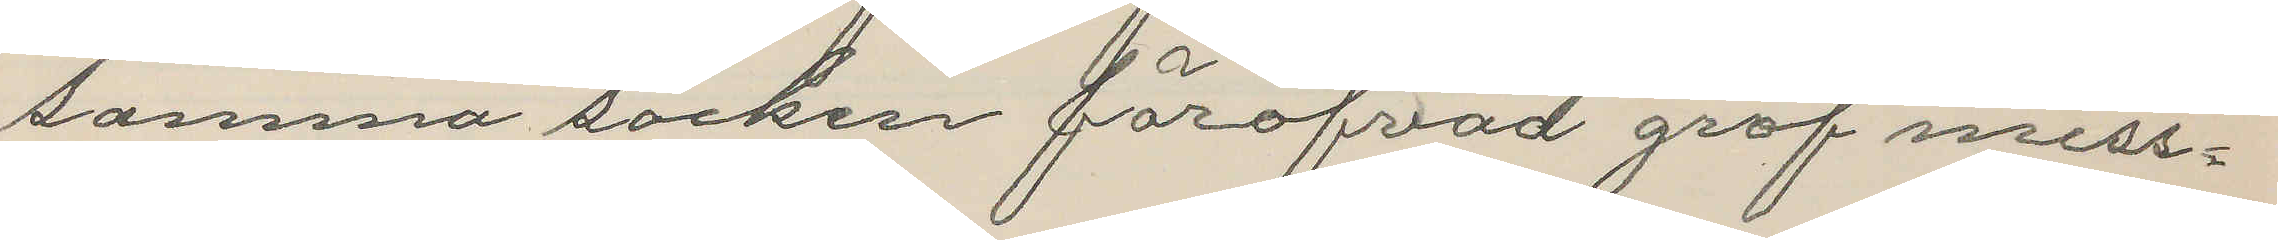samma socken föröfvad grof miss¬
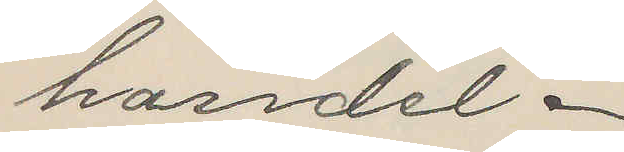handel.
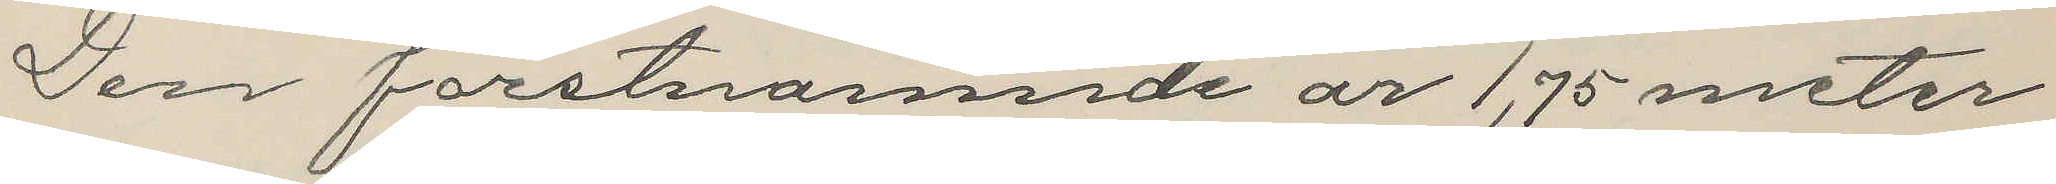Den förstnämnde är 1,75 meter
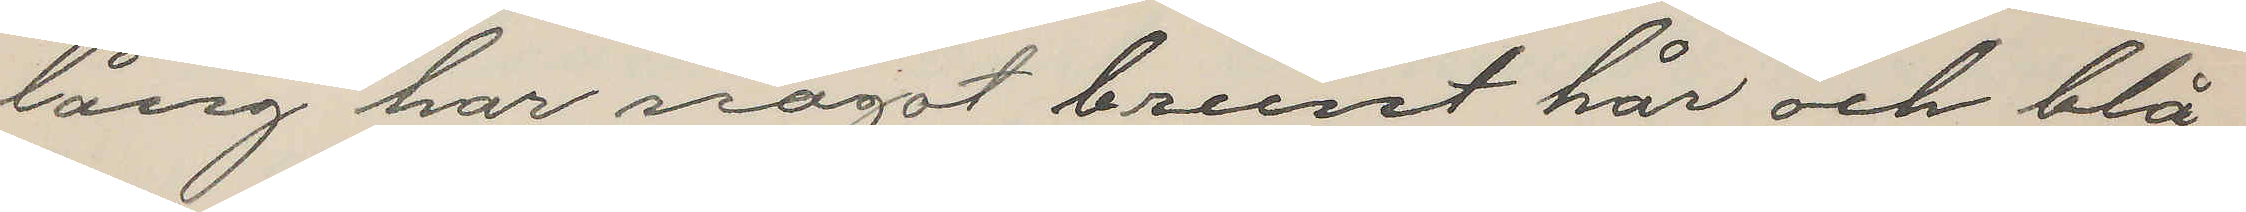lång har något brunt hår och blå
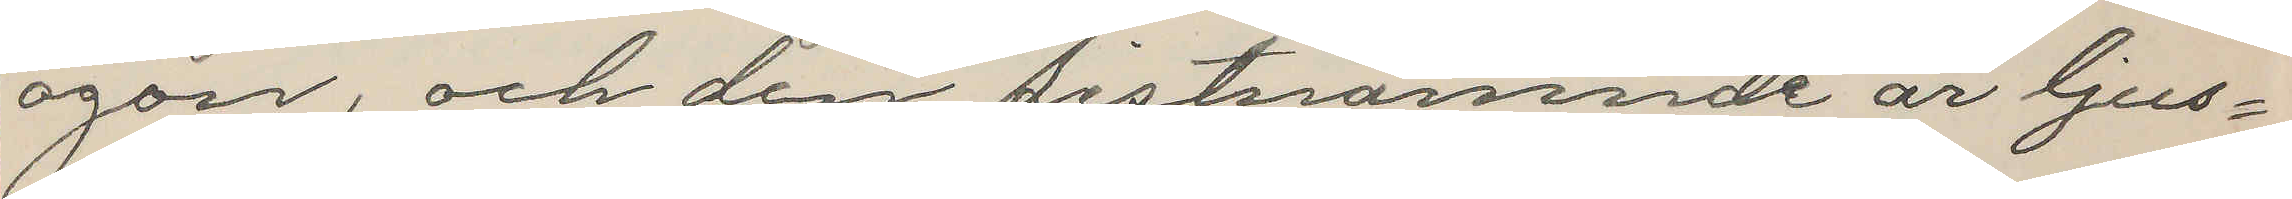ögon, och den sistnämnde är ljus¬
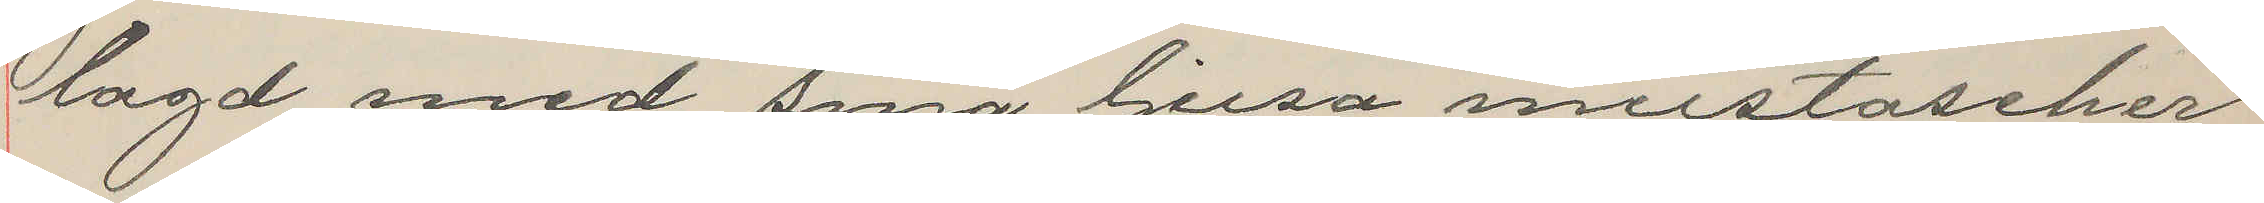lagd med små ljusa mustascher
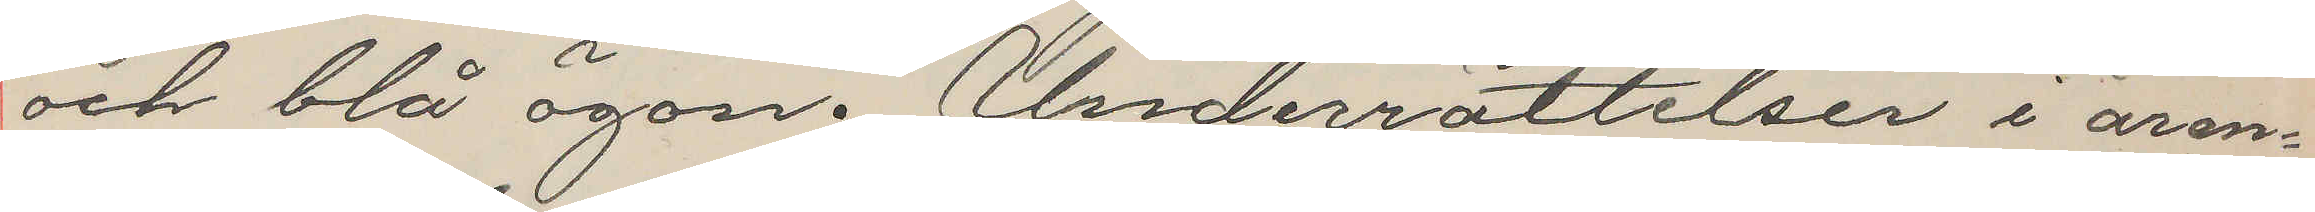och blå ögon. Underrättelser i ären¬
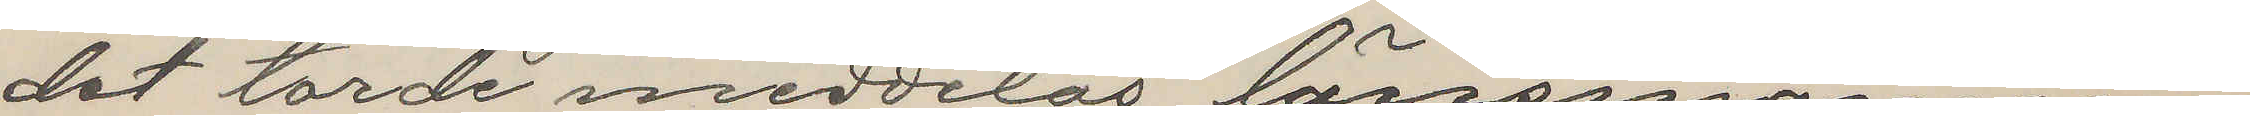det torde meddelas länsmannen
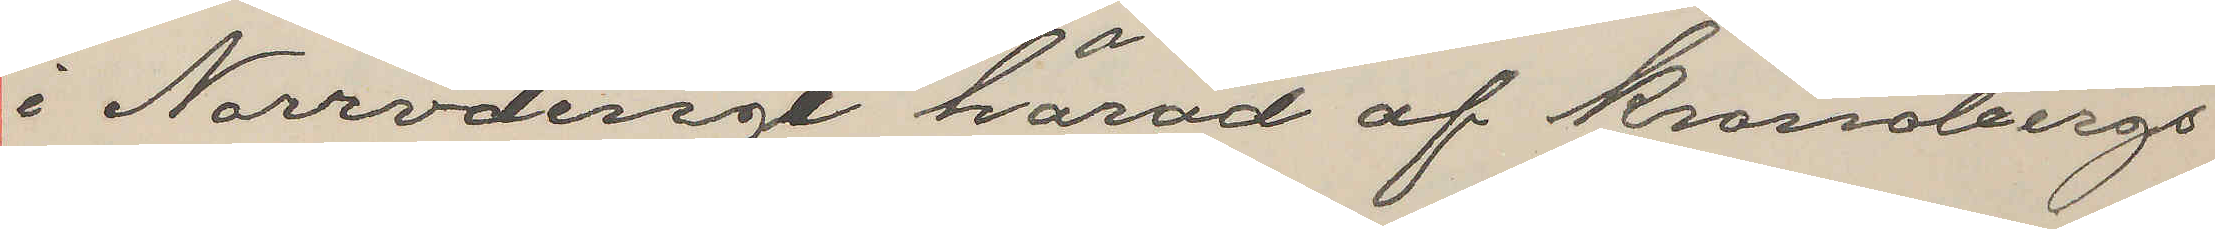i Norrvidinge härad af Kronobergs
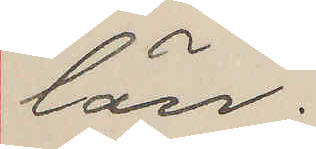län.
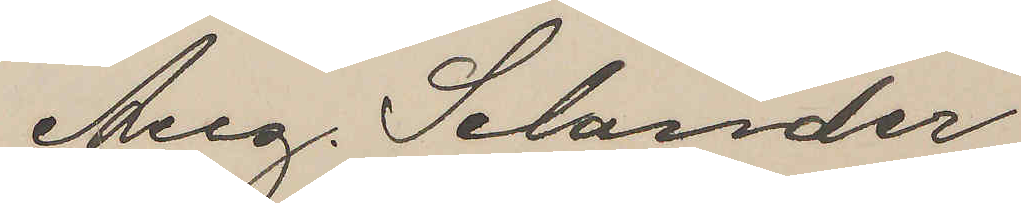Aug. Selander
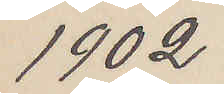1902
